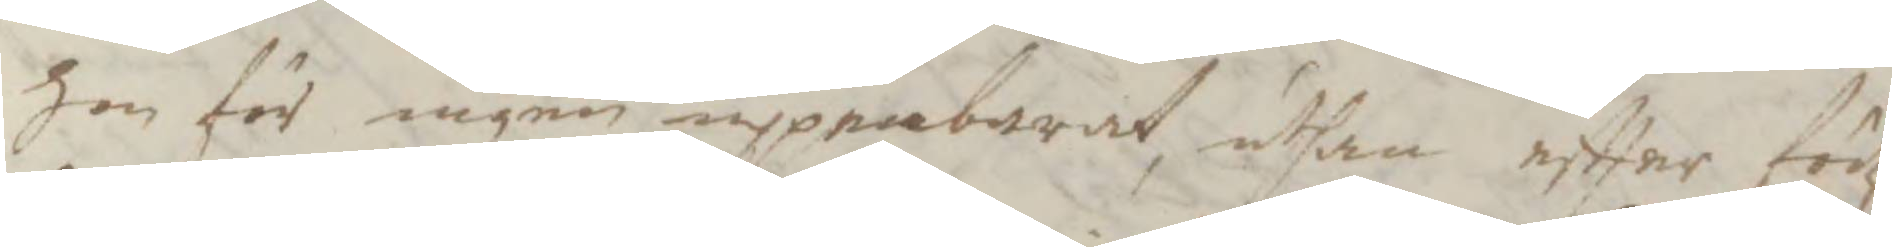hon för ingen uppenbarat, uthan eftter födz¬
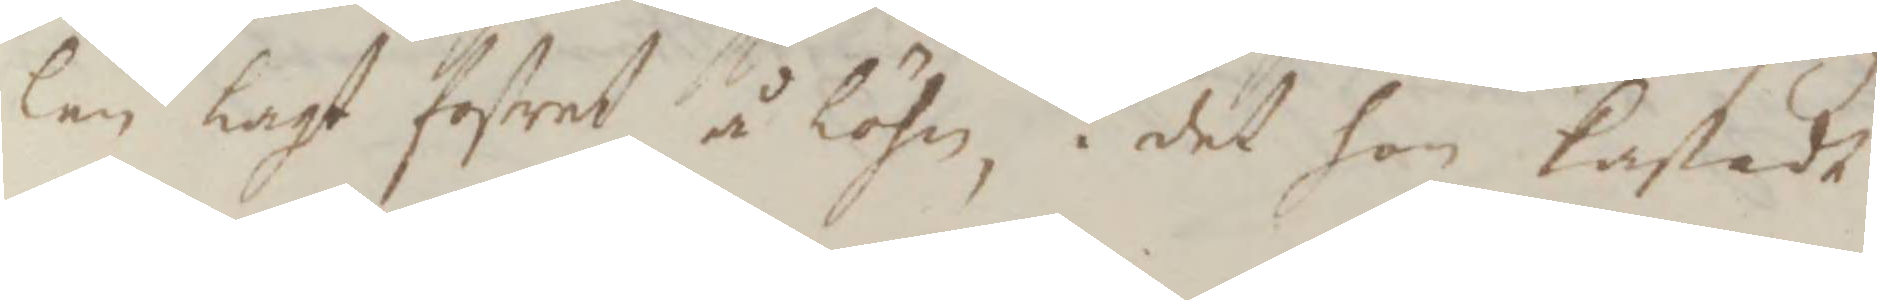len lagt fostret å löhn, i det hon kastade
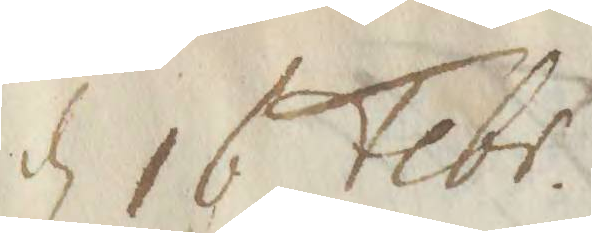d 16 Febr.
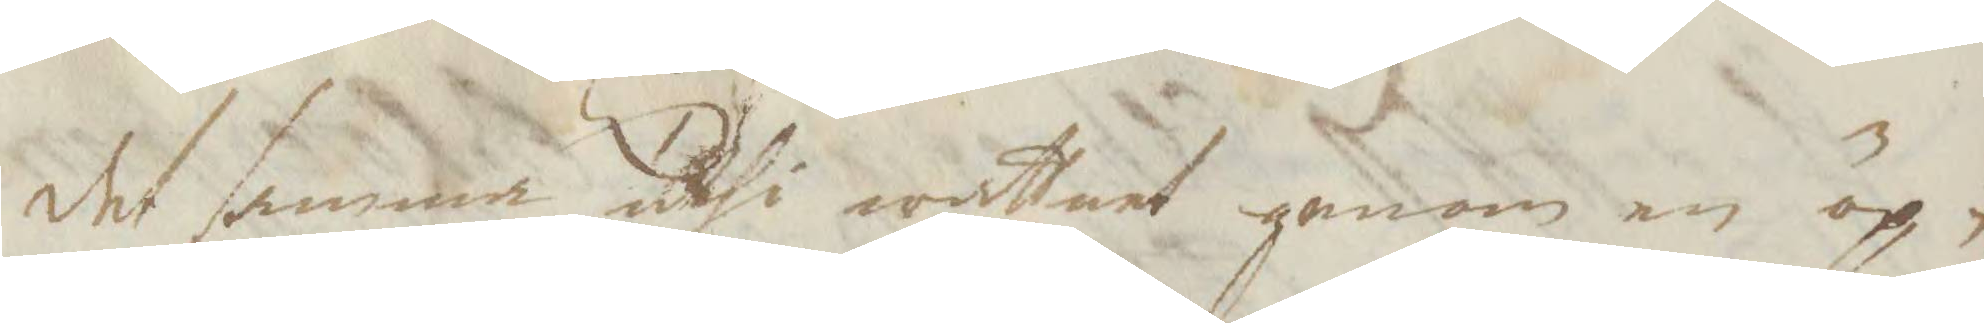det samma uthi wattnet genom en öp¬
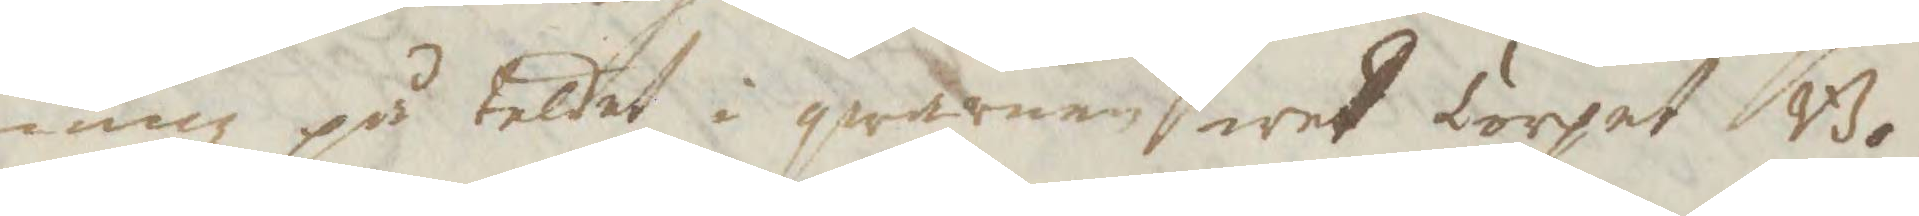ning på teltet i qwarnen wed Torpet Bo¬
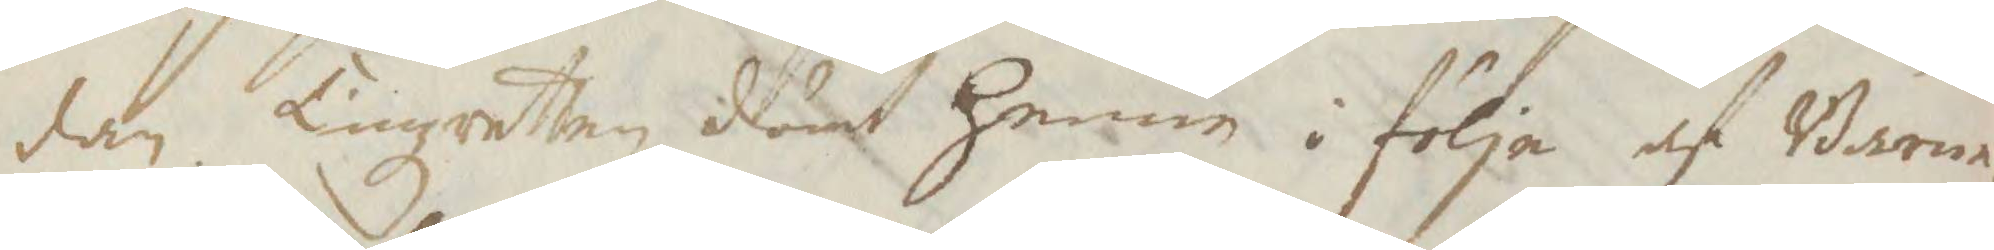dan. Tingzretten dömt henne i följe af barna¬
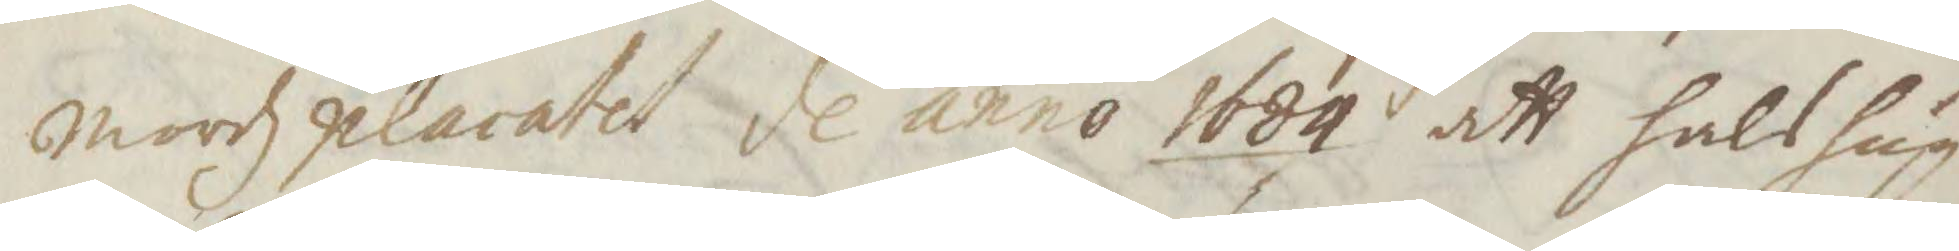mordzplacatet dl anno 1684 att halshug¬
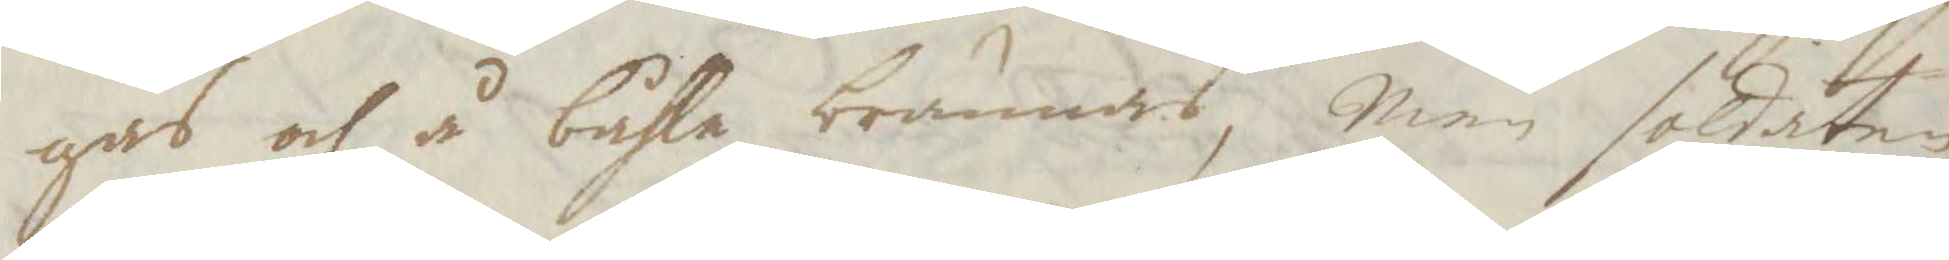gas och å båhle brännas, Men soldaten
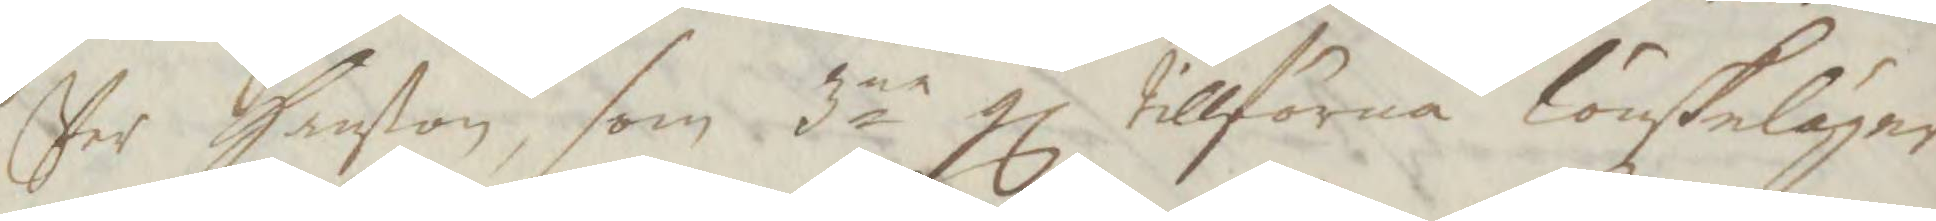Per Hanßon, som 3ne gl tillförne lönskeläger
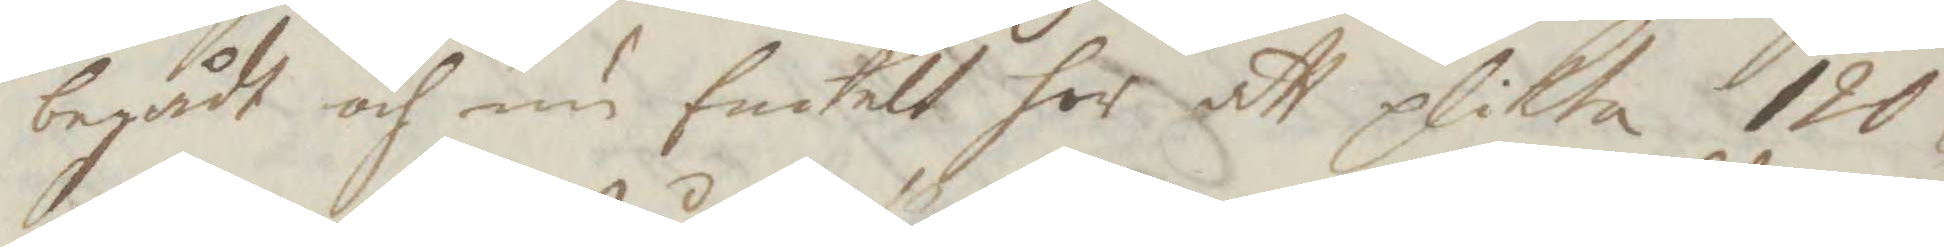begådt och nu Enkelt har att plikta 120
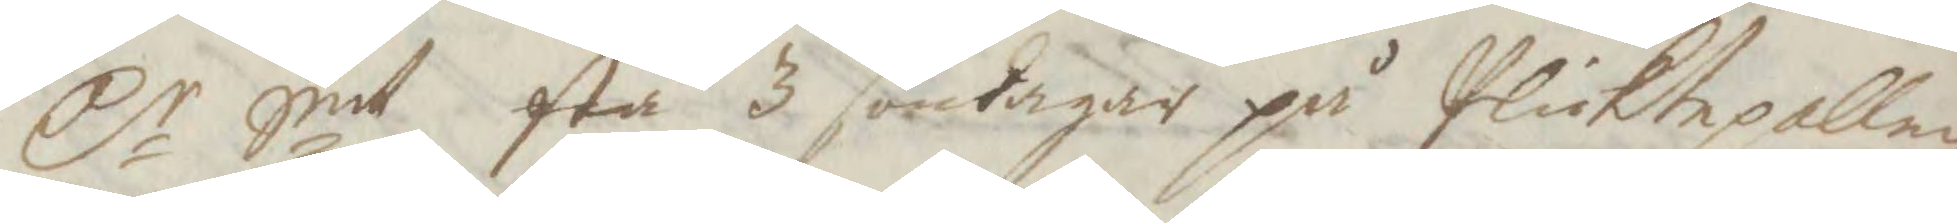Cr Smt stå 3 söndagar på Pliktepallen
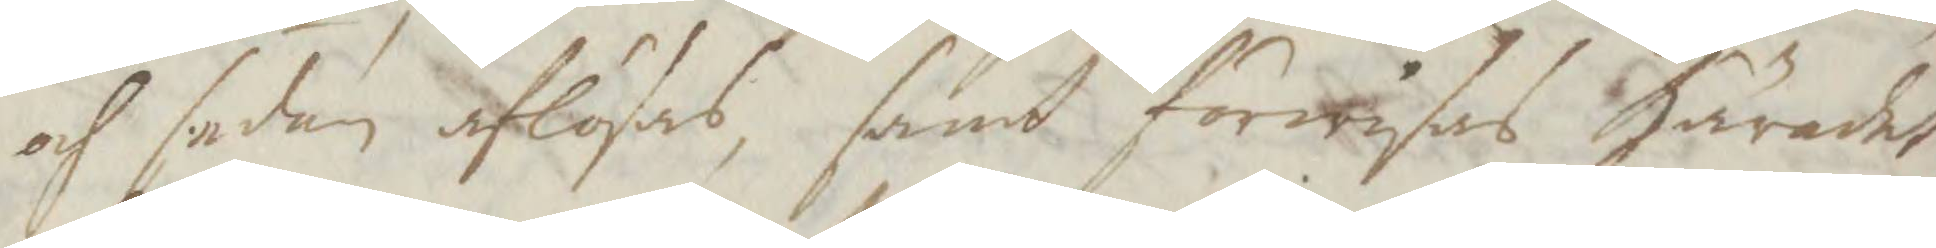och sedan aflösas, samt förwisas Häradet,
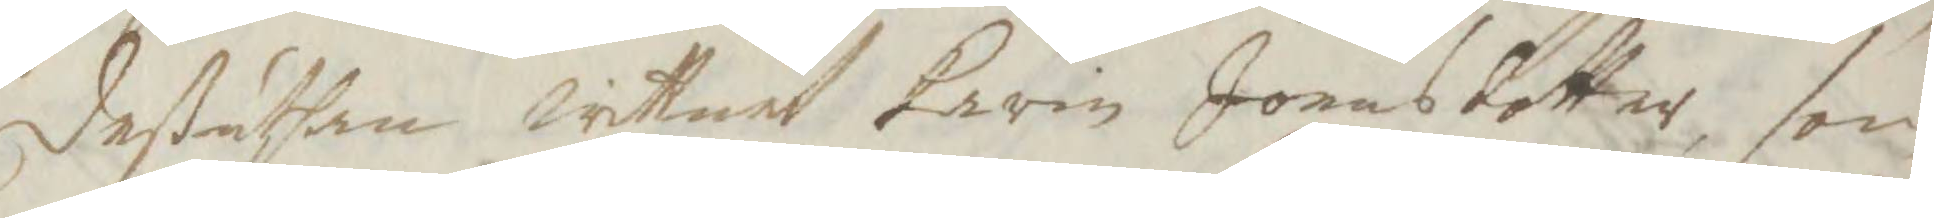deßuthan wittnet Karin Jonasdotter, som
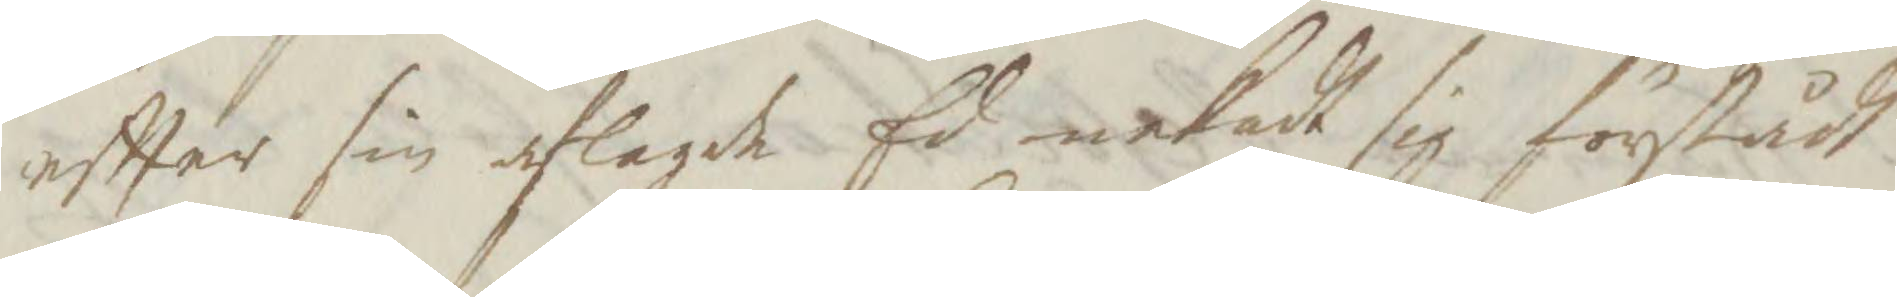eftter sin aflagde Ed nekadt sig förstådt
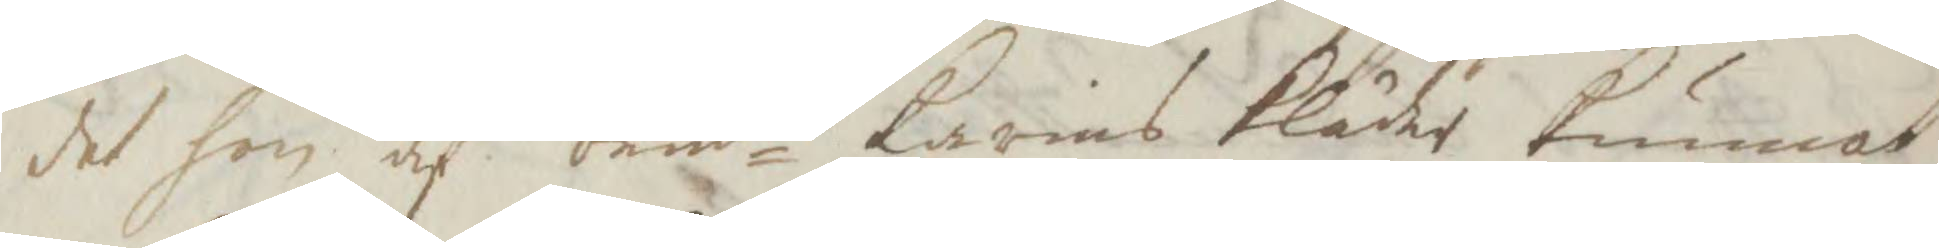det hon af bemte Karins kläde kunnat
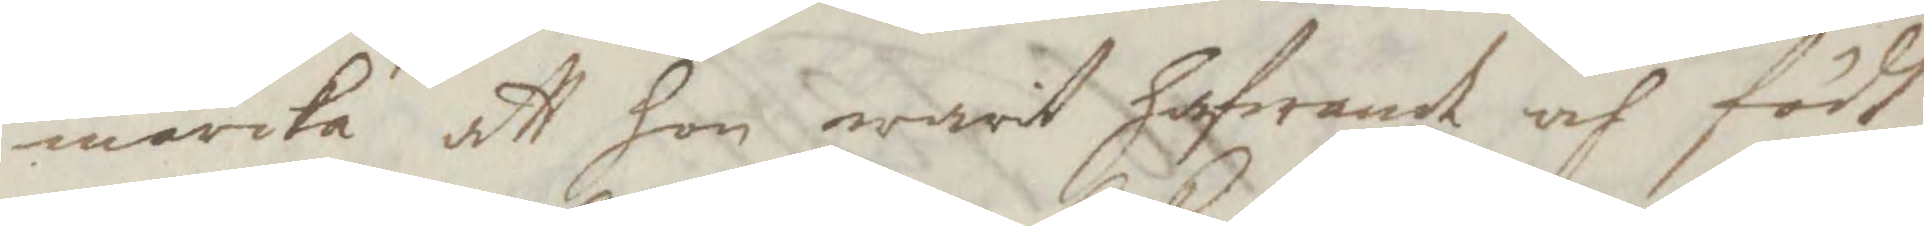märcka att hon warit hafwande och födt
